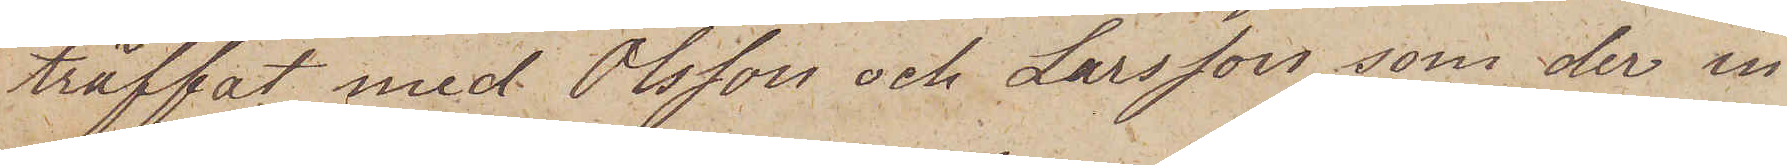träffat med Olsson och Larsson, som der in
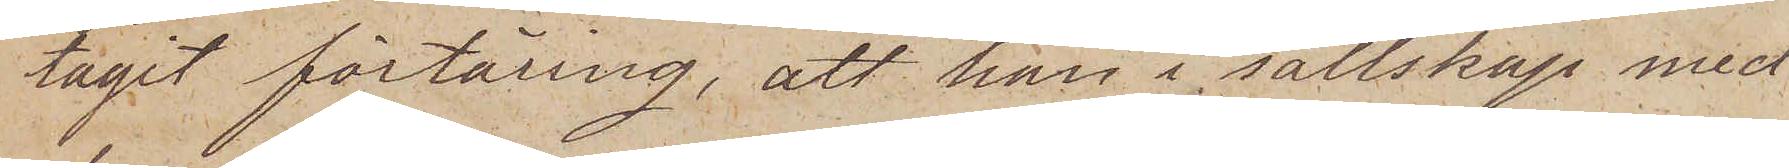tagit förtäring, att han i sällskap med
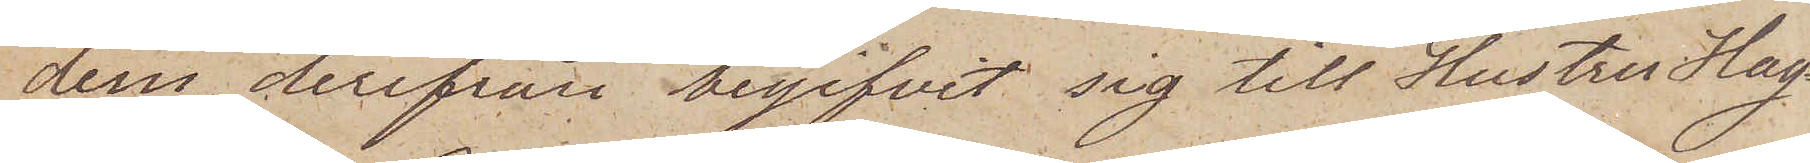dem derifrån begifvit sig till Hustru Hag¬
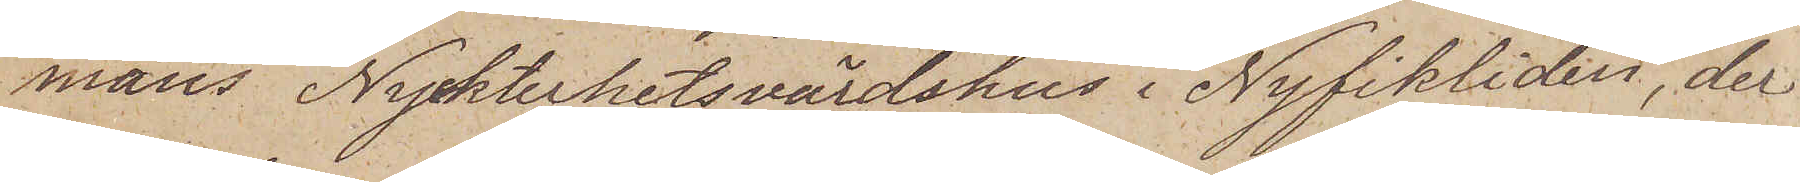mans Nykterhetsvärdshus i Nyfikliden, der
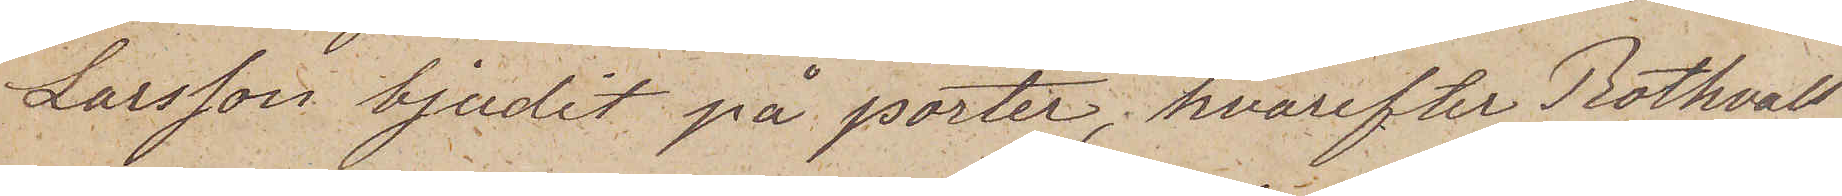Larsson bjudit på porter, hvarefter Rothvall
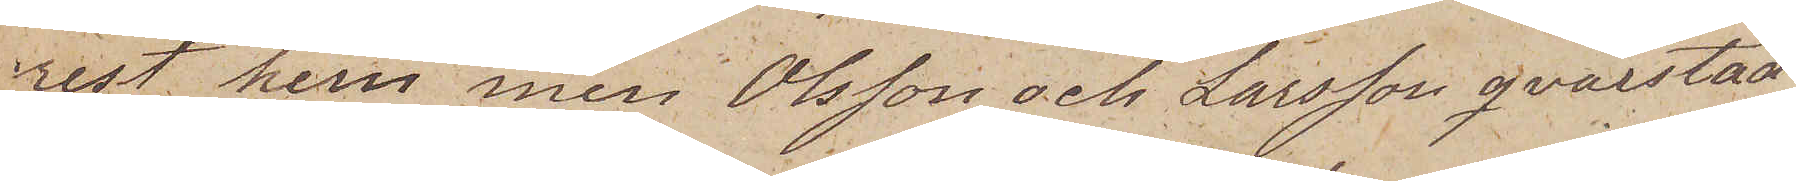rest hem, men Olsson och Larsson qvarstad
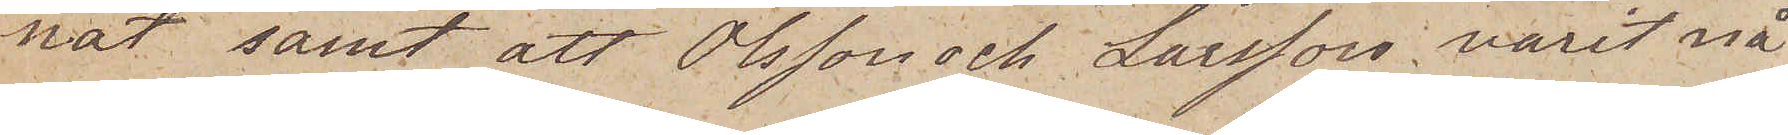nat samt att Olsson och Larsson varit nå
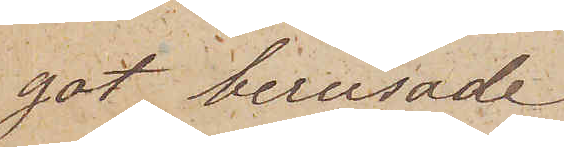got berusade.
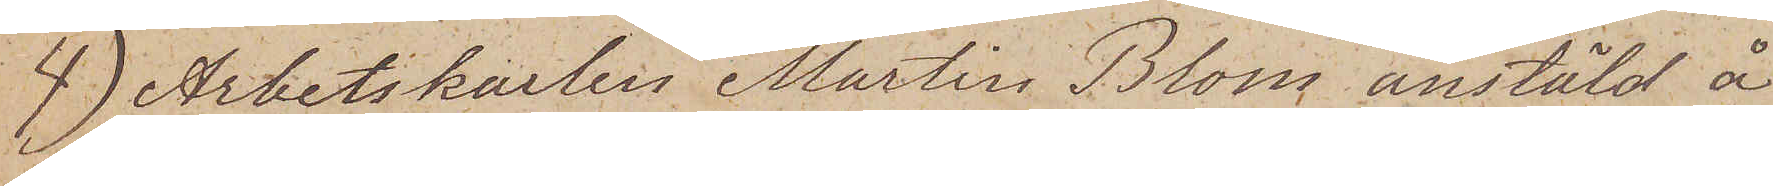4) Arbetskarlen Martin Blom anstäld å
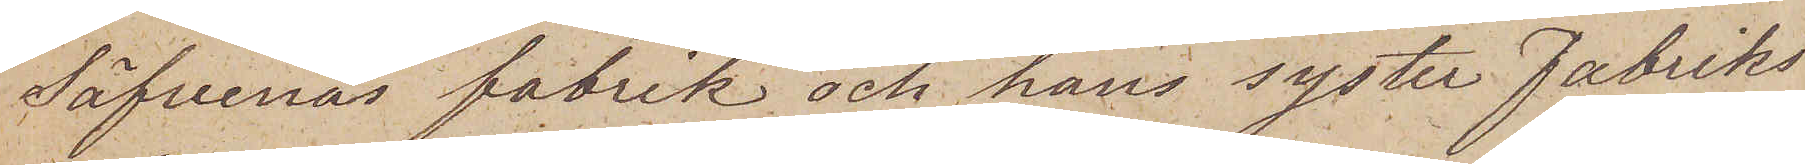Säfvenas fabrik och hans syster fabriks
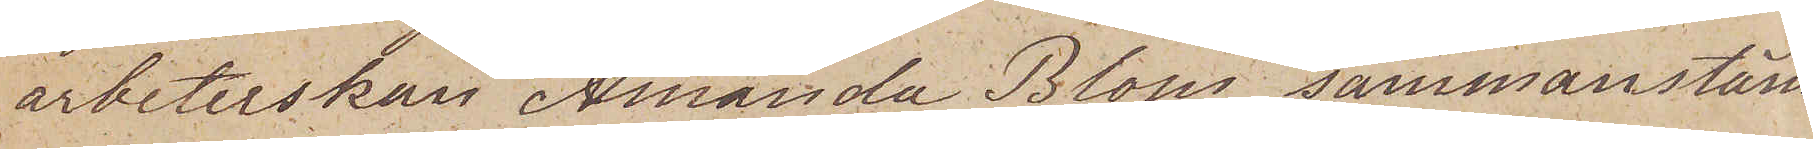arbeterskan Amanda Blom sammanstäm¬
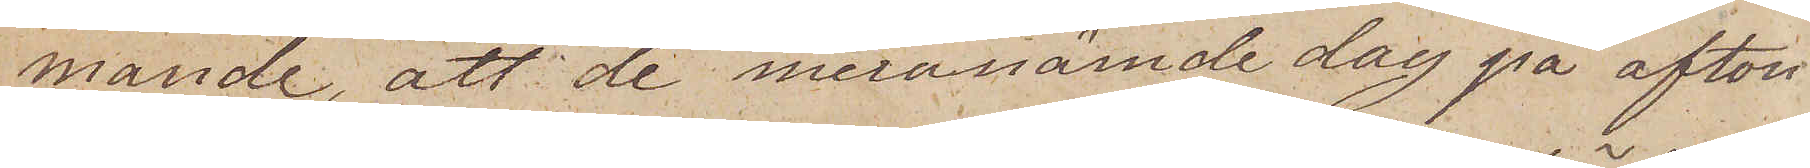mande, att de meranämde dag på afton
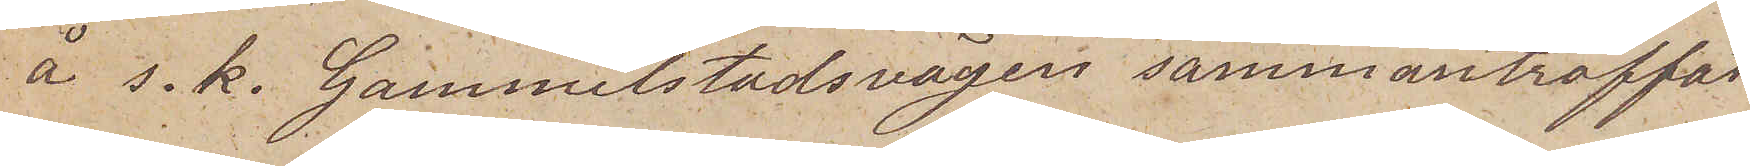å s. k. Gammelstadsvägen sammanträffat
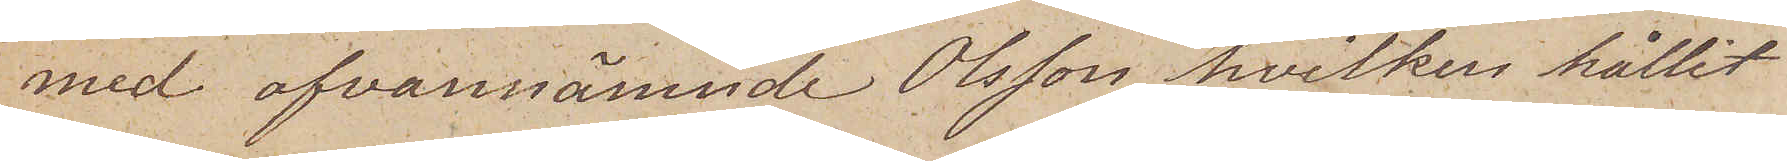med ofvannämnde Olsson hvilken hållit
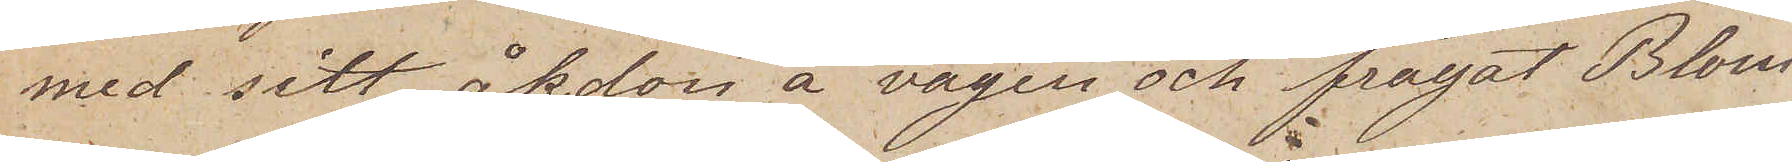med sitt åkdon å vägen och frågat Blom
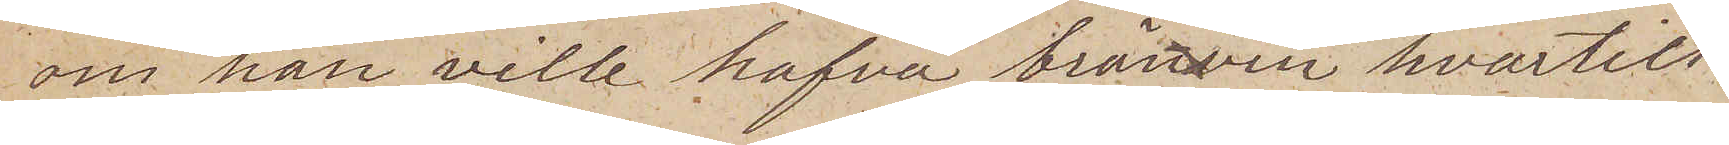om han ville hafva bränvin hvartill
